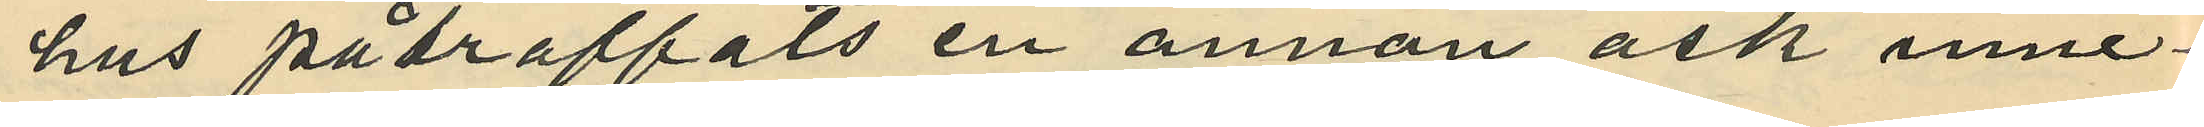hus påträffats en annan ask inne¬
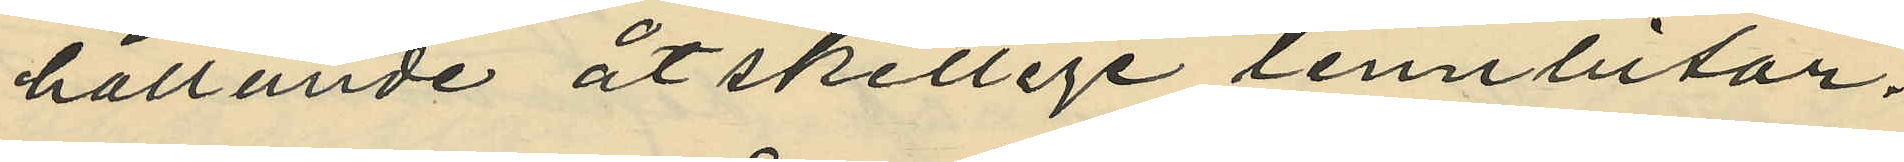hållande åtskillige tennbitar.
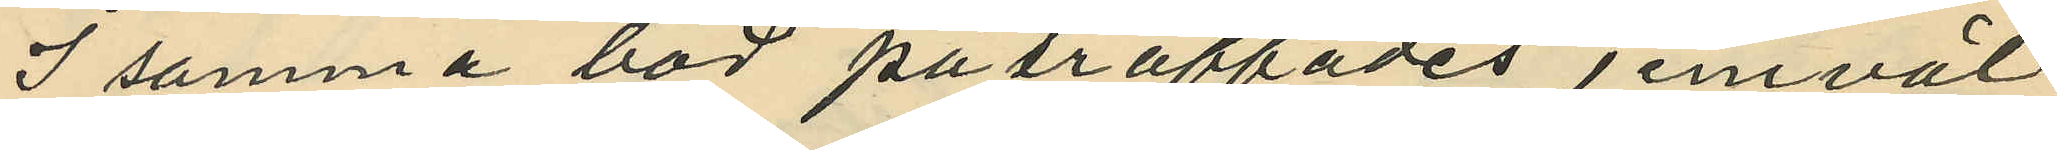I samma bod påträffades jemväl
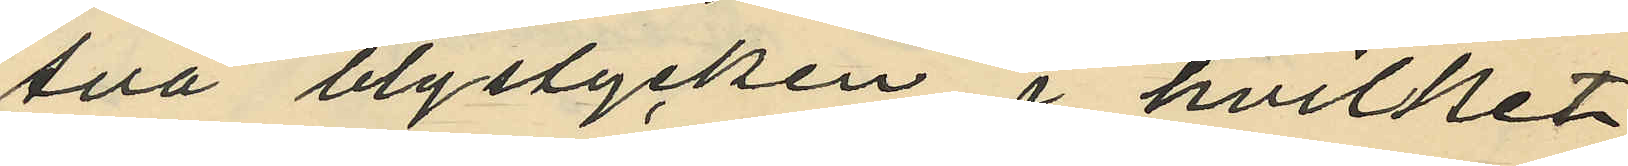två blystycken, i hvilket
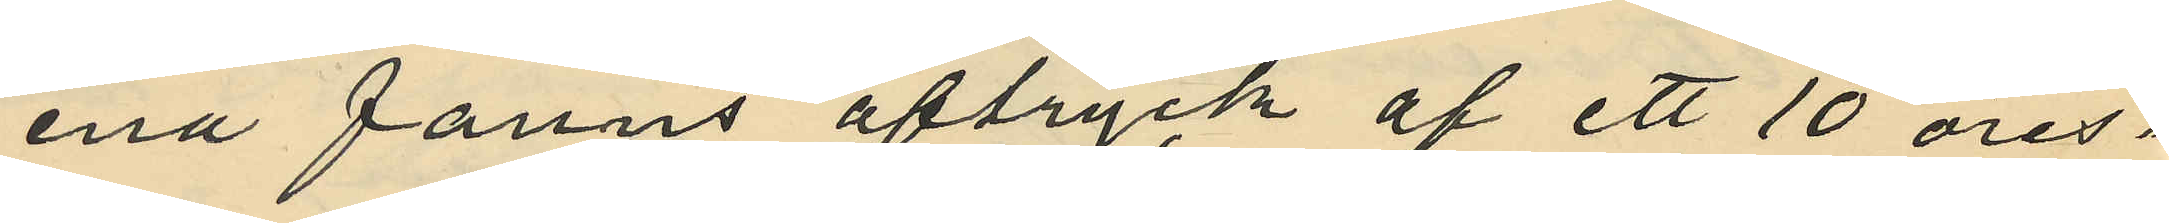ena fanns aftryck af ett 10 öres¬
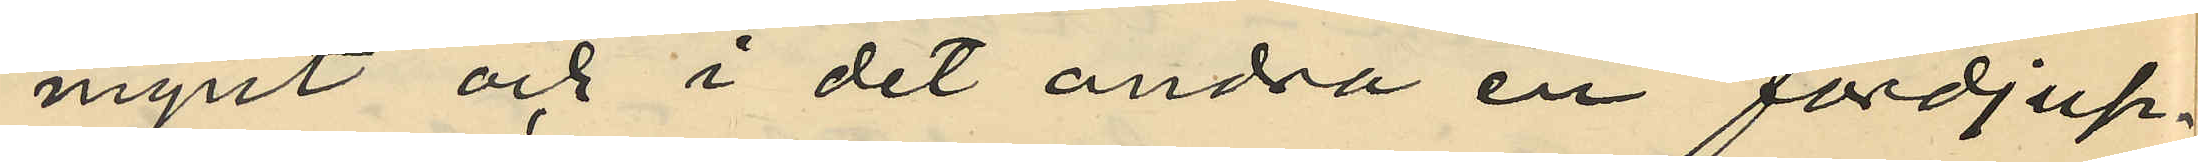mynt och i det andra en fördjup¬
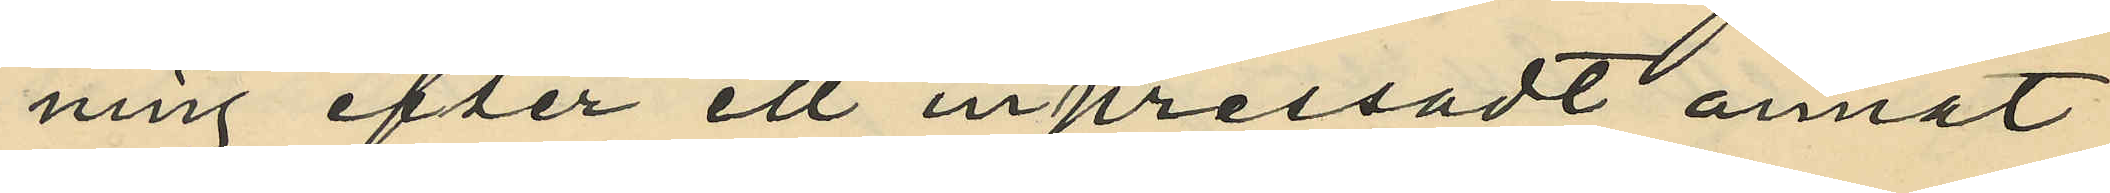ning efter ett inpressadt annat
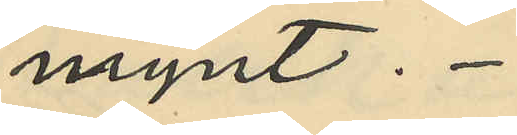mynt.
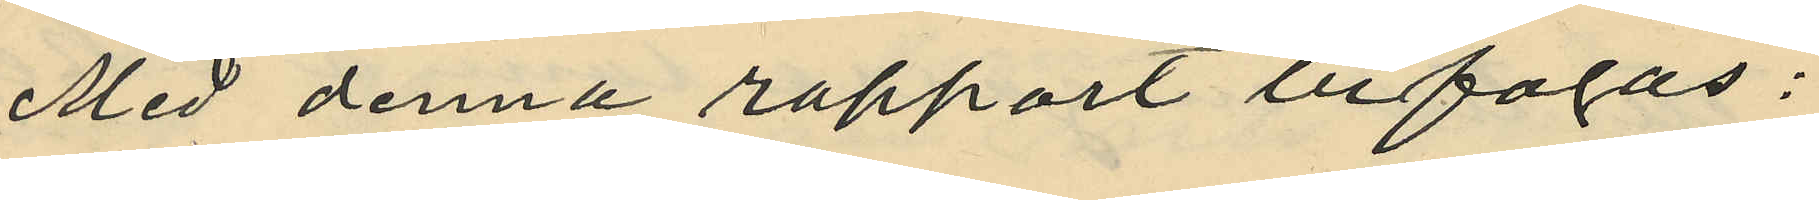Med denna rapport bifogas:
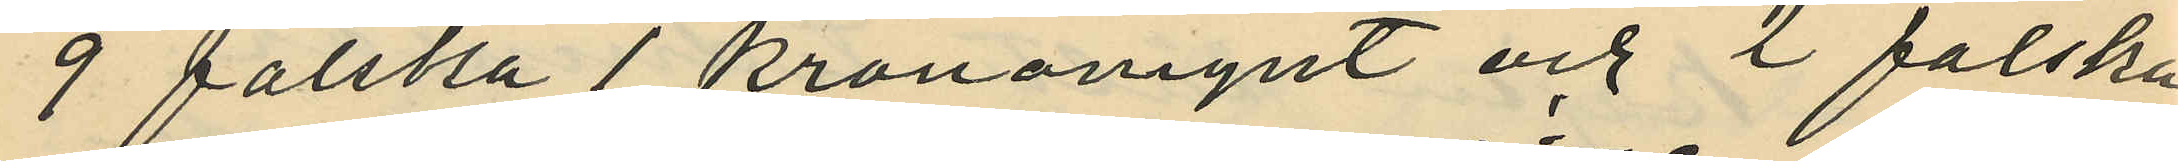9 falska 1 kronomynt och 2 falska
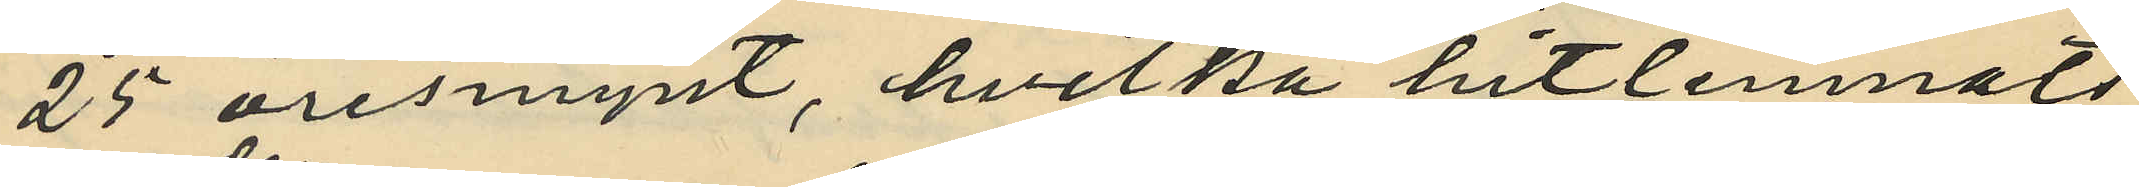25 öresmynt, hvilka hitlemnats
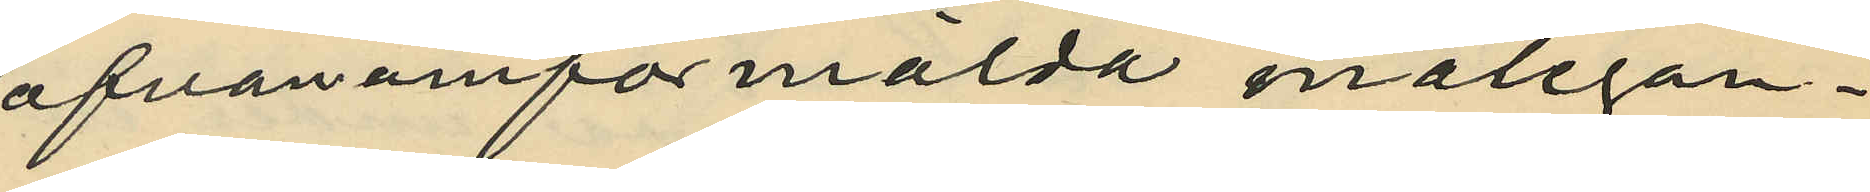ofvanomförmälda målsegan¬
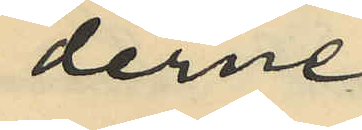derne,
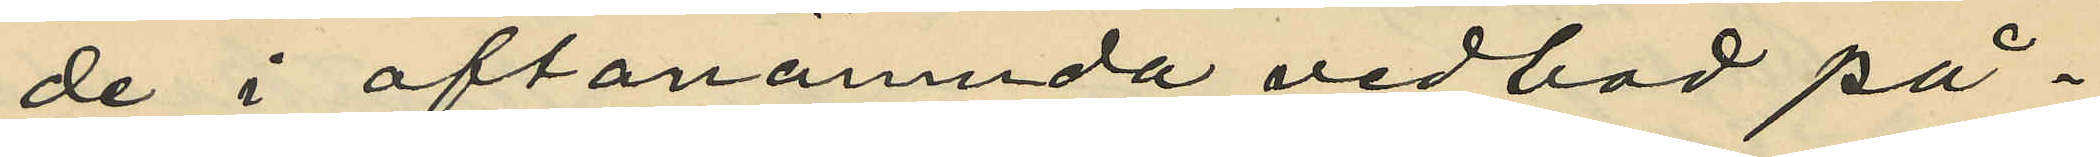de i oftanämnda vedbod på¬
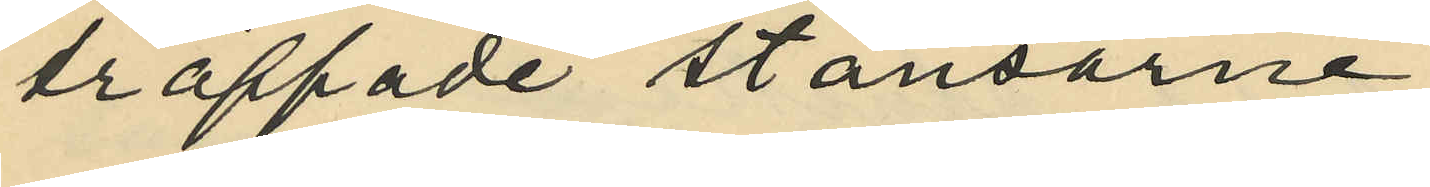träffade stansarne,
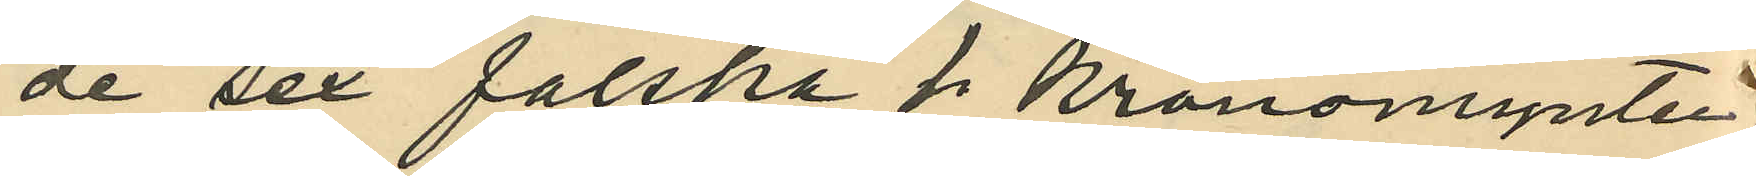de sex falska 1 kronomynten
